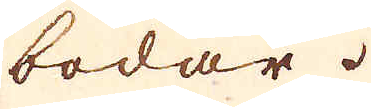bodar.
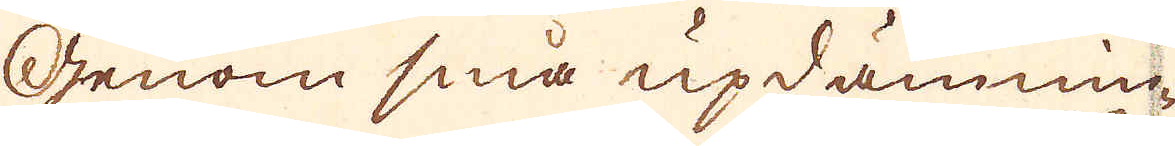Genom sina updämnin-
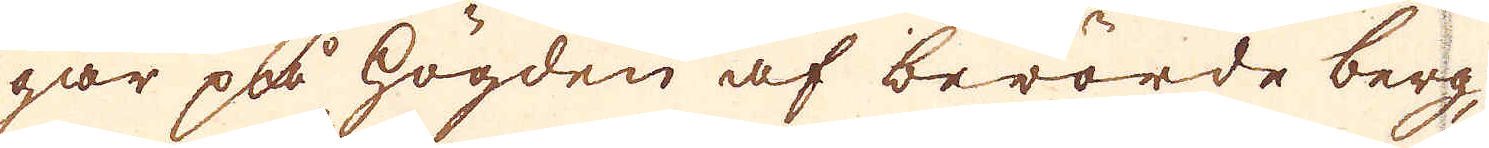gar på högden af berörde berg,
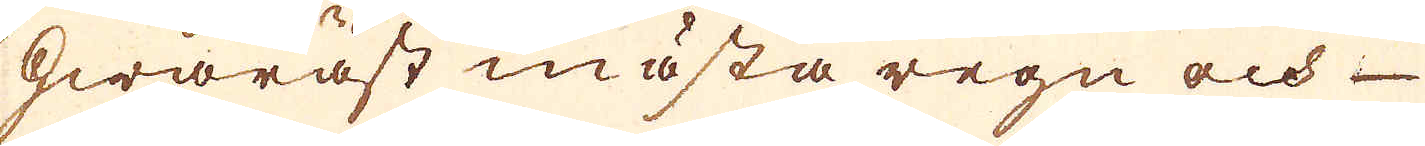hwaräst nästa regn och-
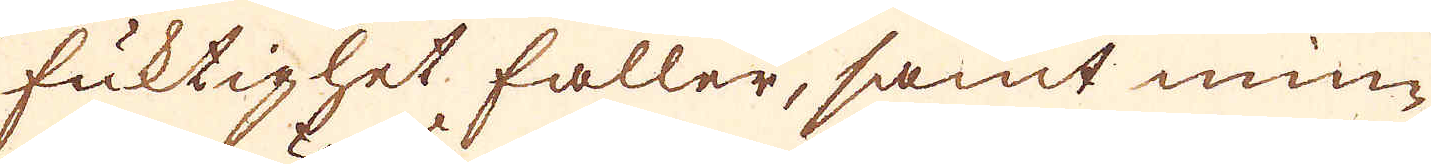fuktighet faller, samt min-
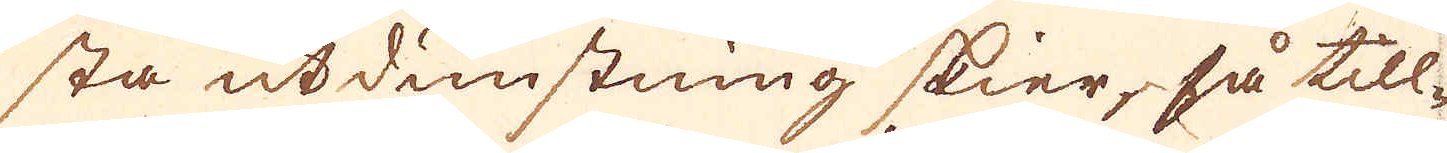sta utdunstning skier, så till-
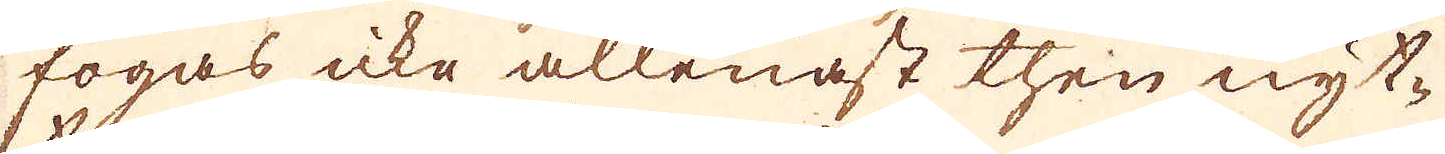fogas icke allenast then nyt-
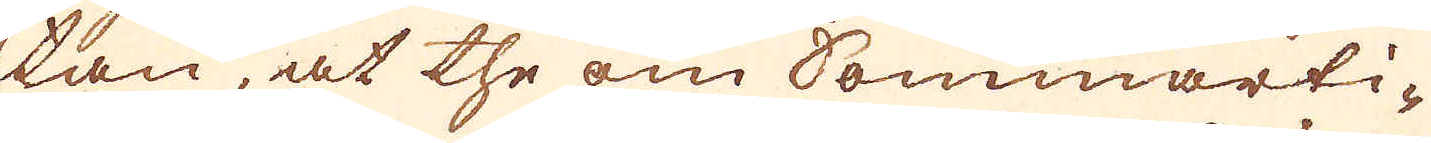tan, at the om Sommarti-
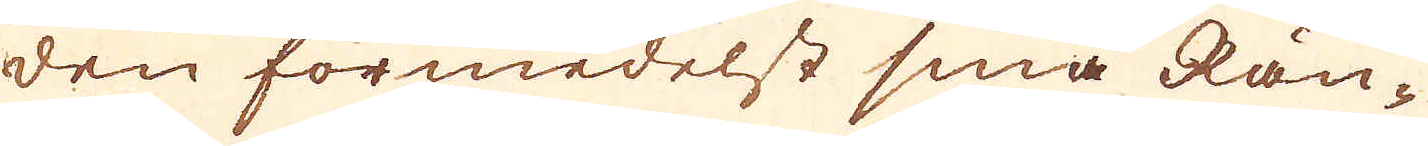den förmedelst sina Rän-
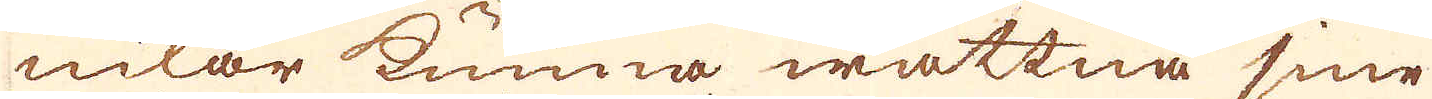nilar kunna wattna sina
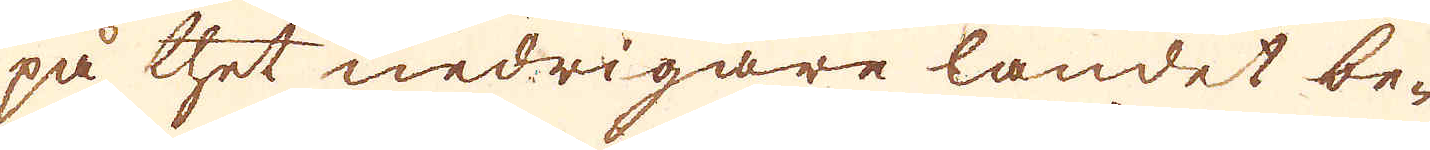på thet nedrigare landet be-
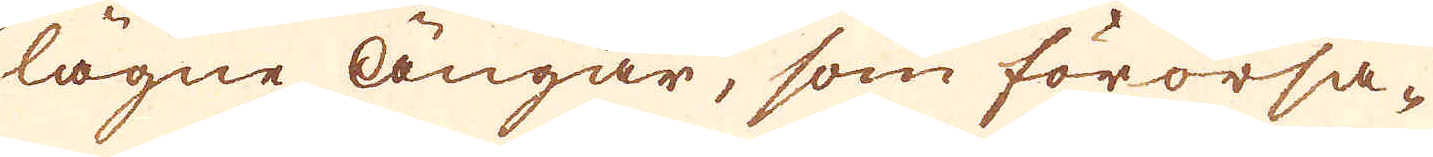lägne Ängar, som förorsa-
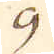9
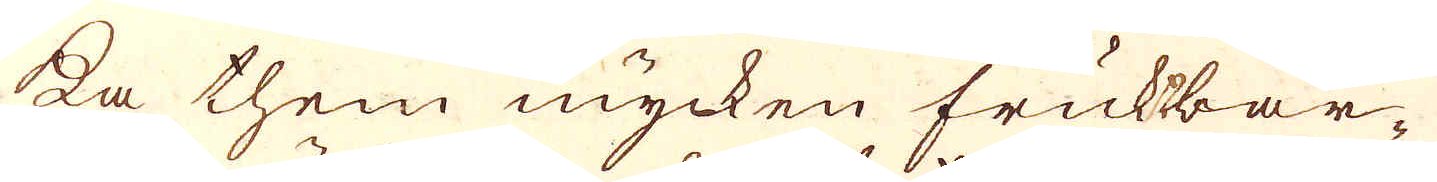ka them mycken fruktbar-
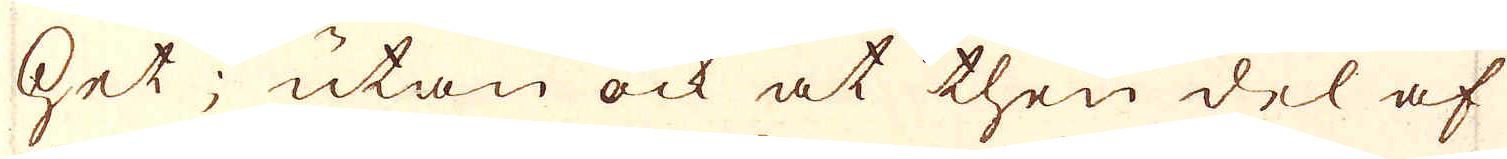het; utan ock at then del af
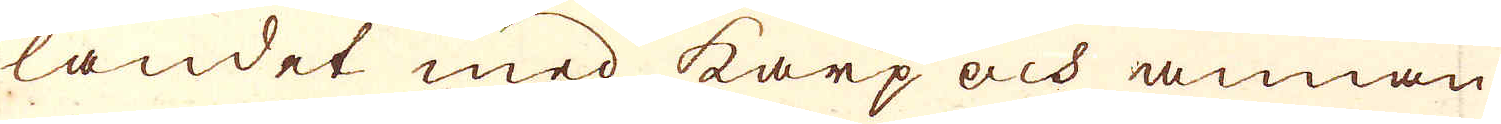landet med karp och annan
